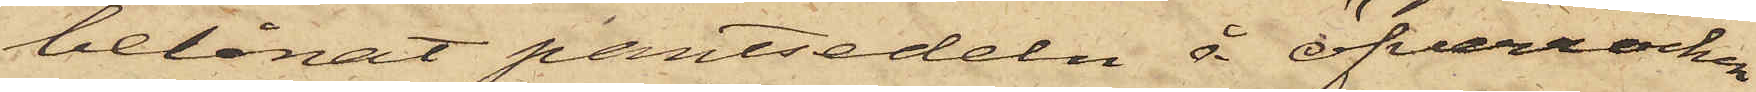belånat pantsedeln å öfverrocken
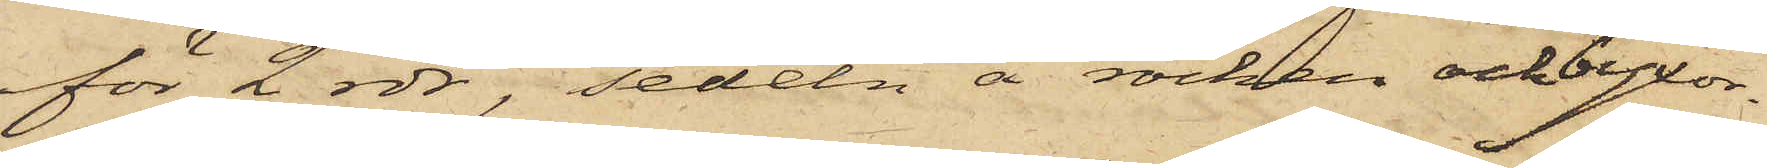för 2 rdr, sedeln å rocken och byxor¬
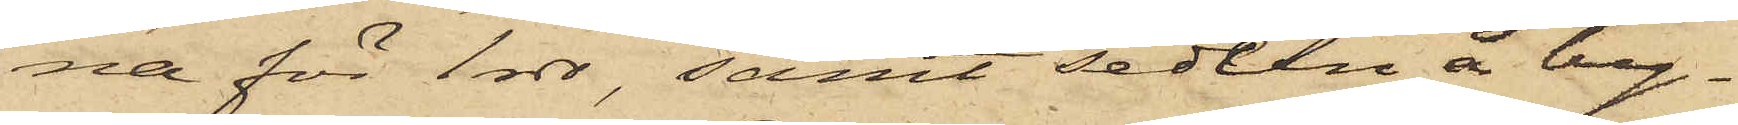na för 1 rdr, samt sedeln å by¬
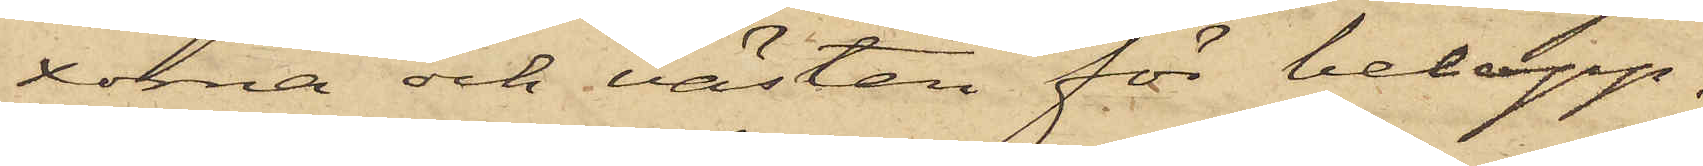xorna och västen för belopp,
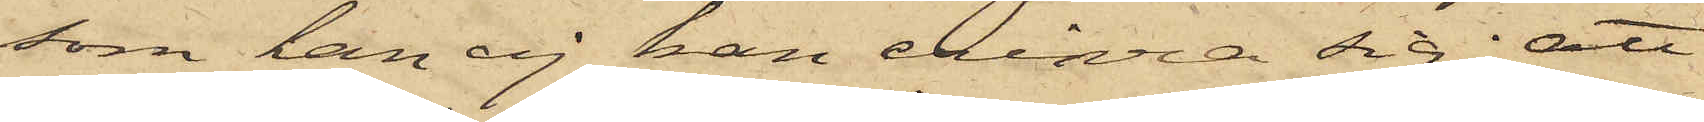som han ej han erinra sig; att
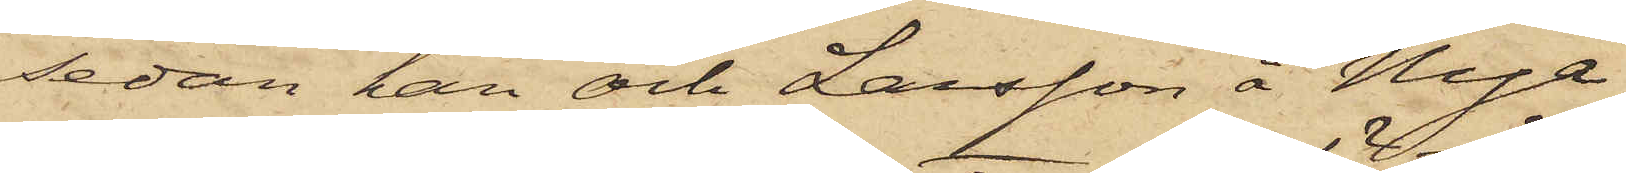sedan han och Larsson å Nya
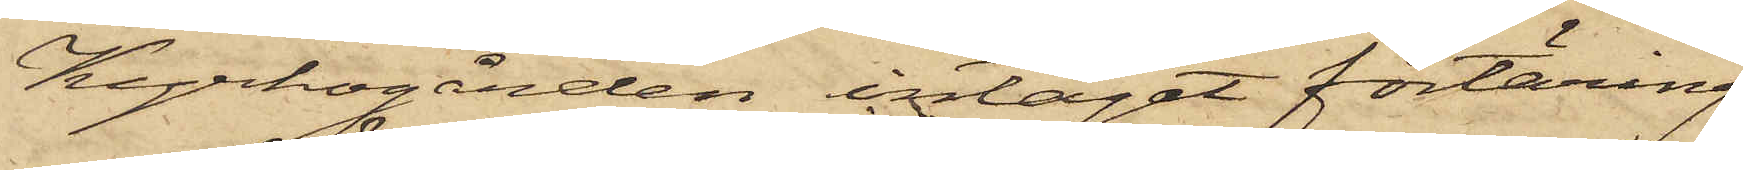Kyrkogården intagit förtäring
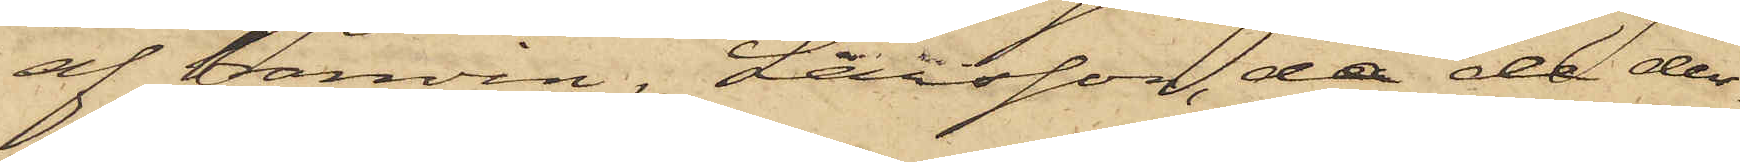af bränvin, Larsson, då de der¬
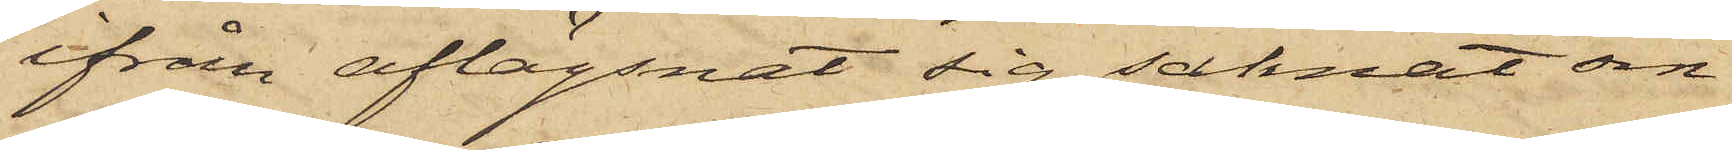ifrån aflägsnat sig, saknat sin
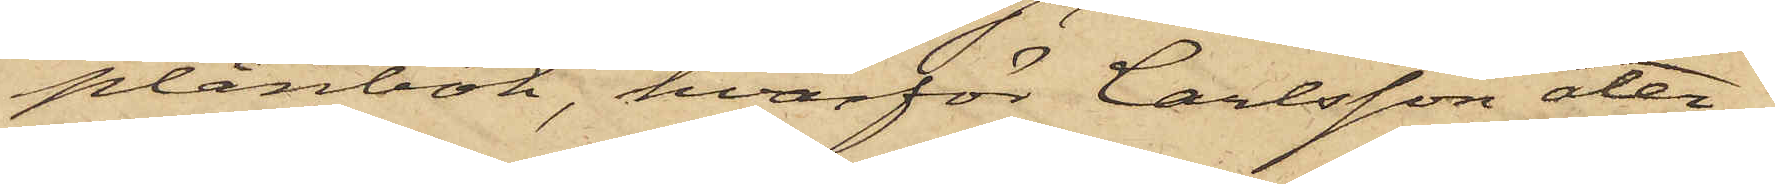plånbok, hvarför Carlsson åter¬
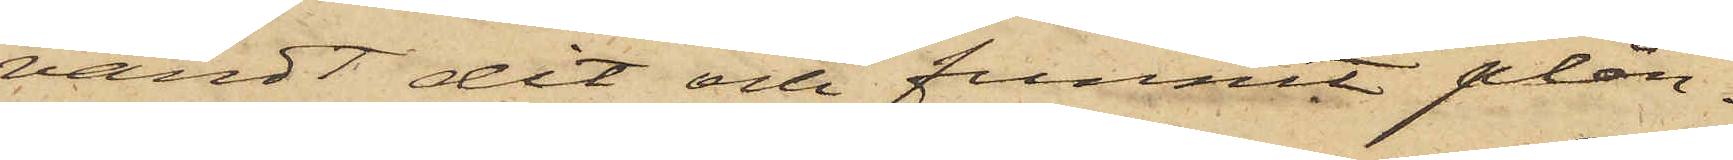vändt dit och funnit plån¬
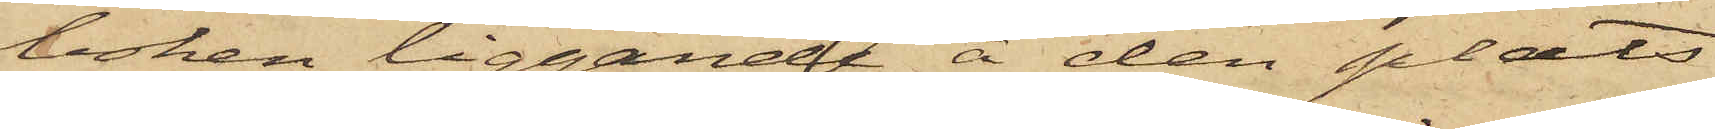boken liggande å den plats
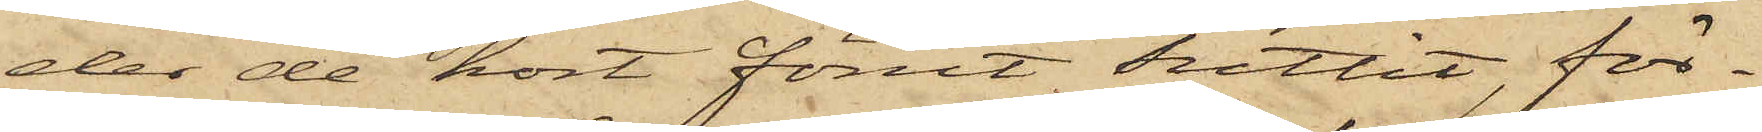der de kort förut suttit, för¬
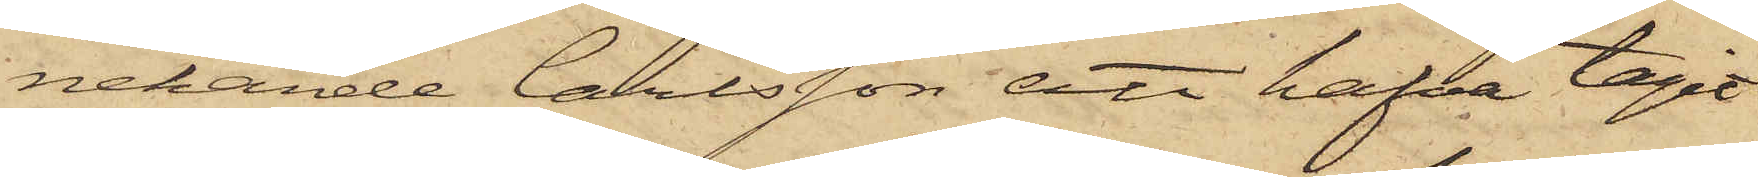nekande Carlsson att hafva tagit
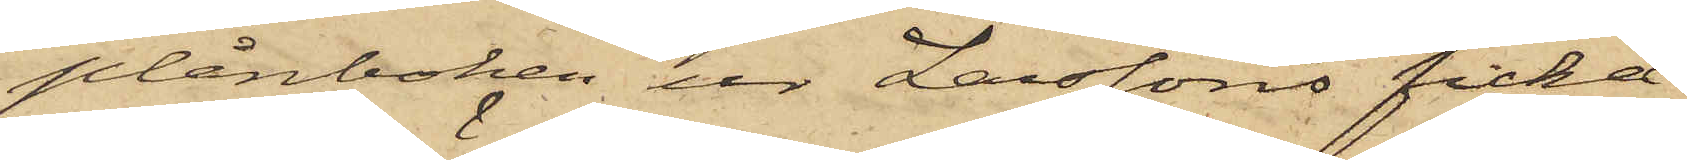plånboken ur Larssons ficka.
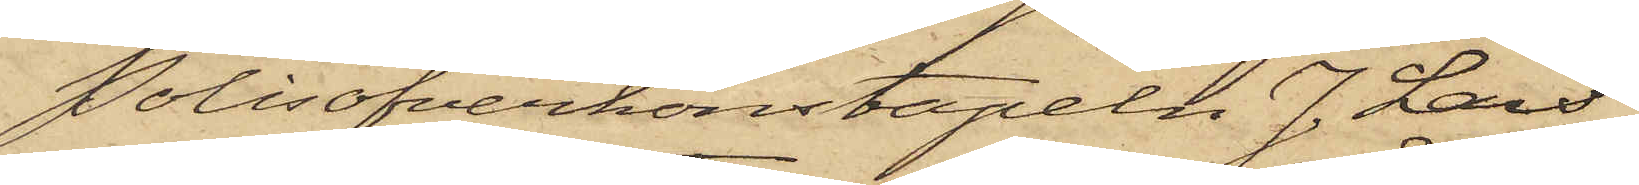Polisöfverkonstapeln J. Lars¬
